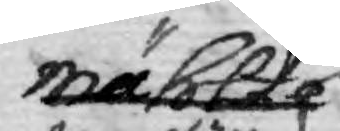mählte 
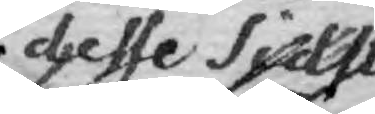desse sidst¬
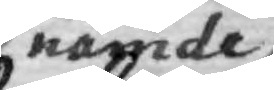nämde
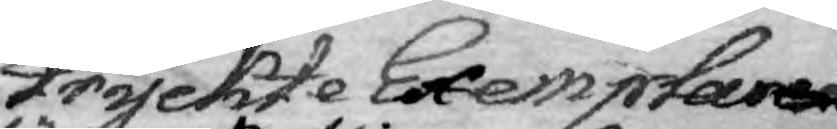tryckte Exemplaren
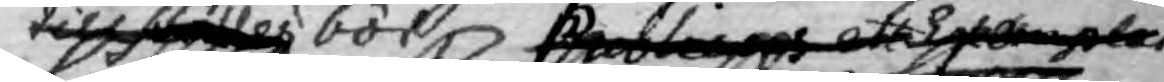till ställes bör Publicus ett Exemplar
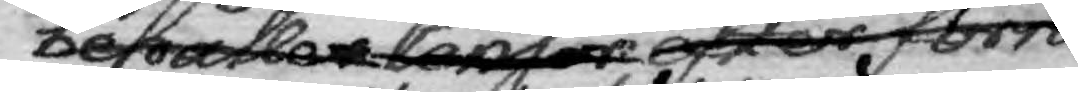behålle Censor efter förra
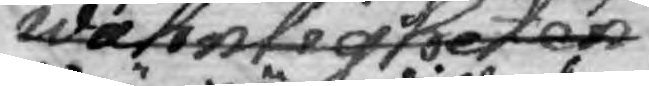wahnligheten ett 
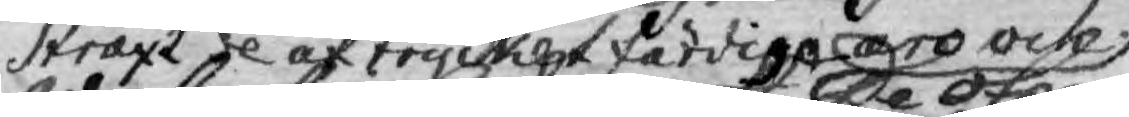straxt de af trycket färdiga äro ock
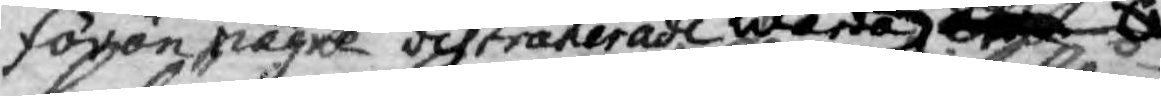förän någre distraherade warda
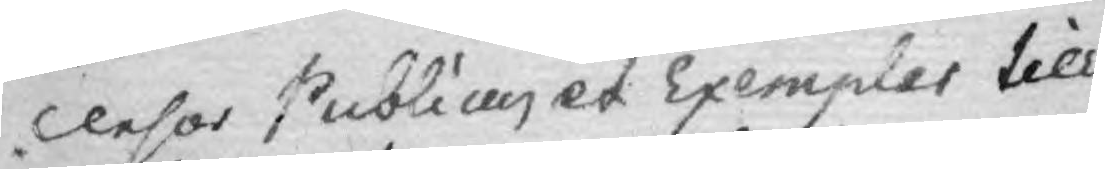Censor Publicus et Exemplar till
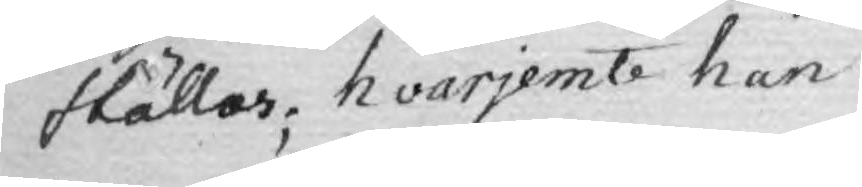ställar; hvarjemte han
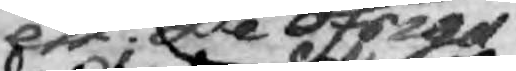De öfriga
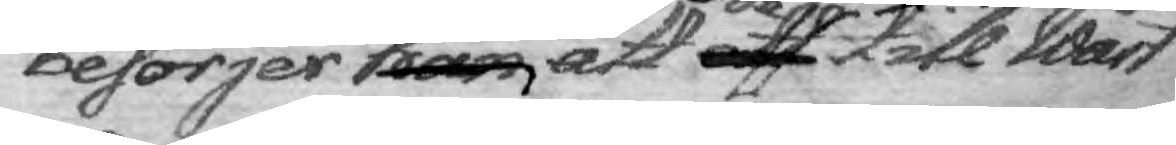besörjer han att aff de till Wårt
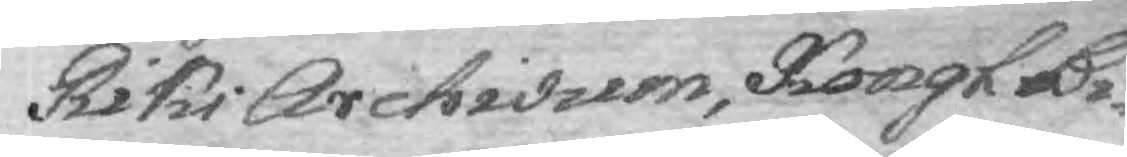Riks Archivum, Kongl. Bi¬
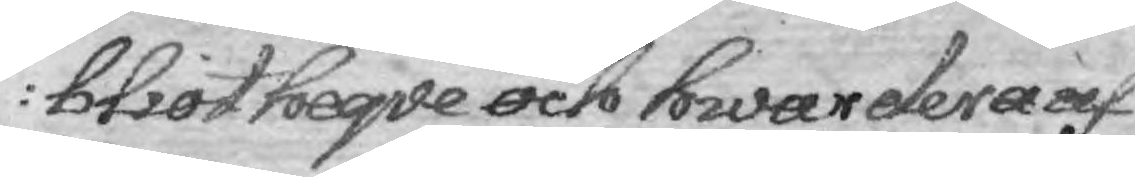bliotheqve och hwardera af
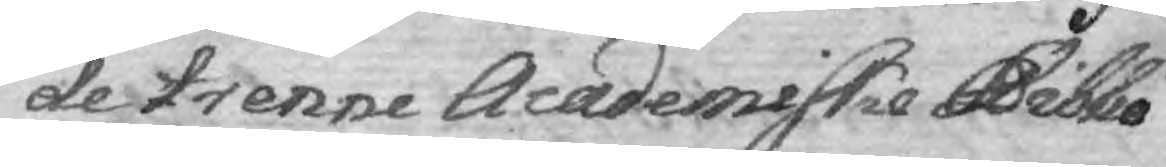de trenne Academiskie Biblio¬
